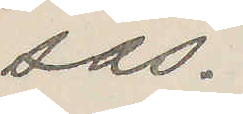sas.
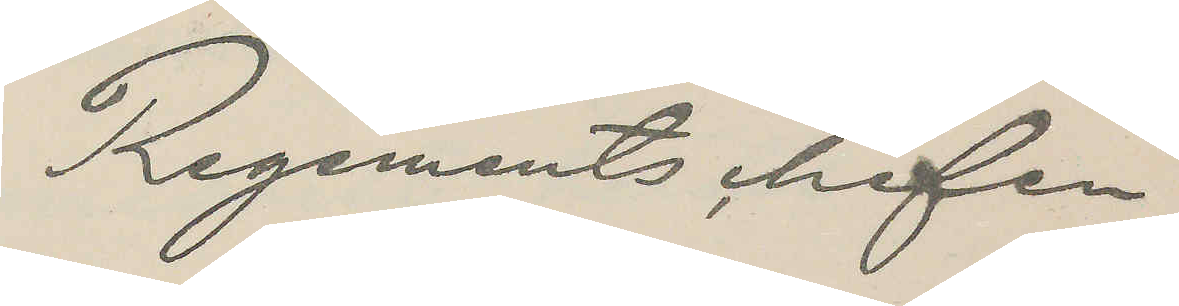Regements chefen
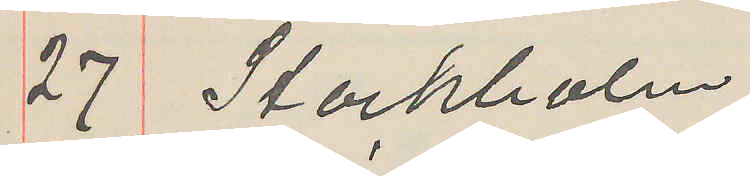27 Stockholm
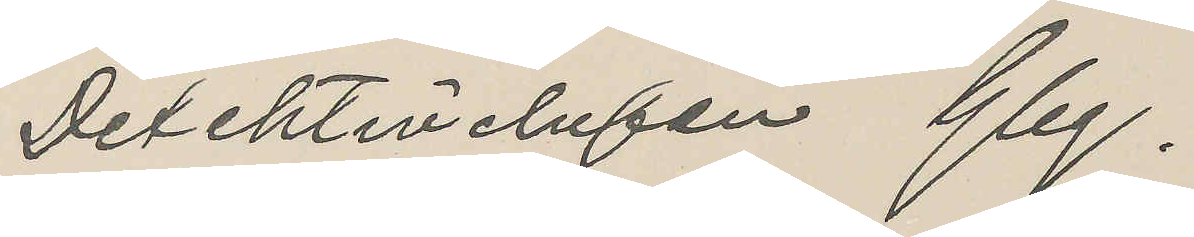Detektivchefen Gbg.
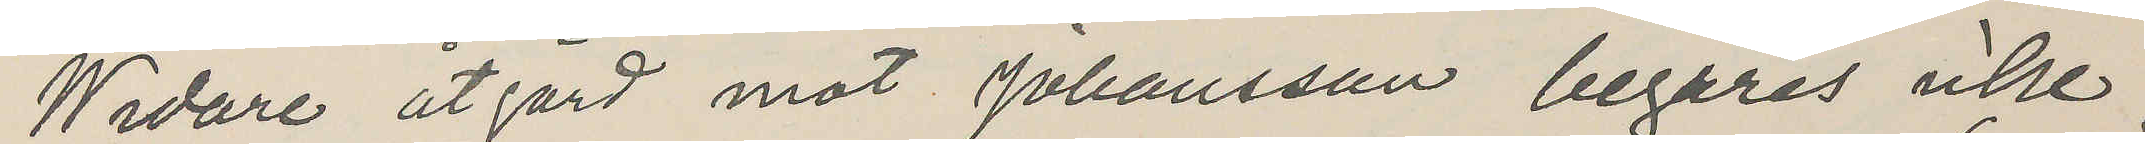Widare åtgärd mot Johansson begäres icke.
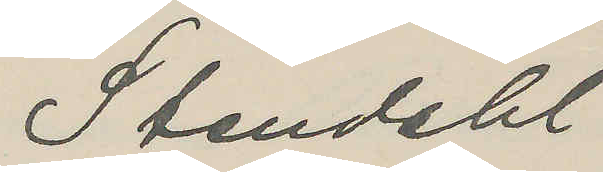Stendahl
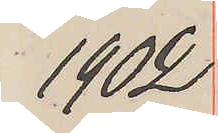1902
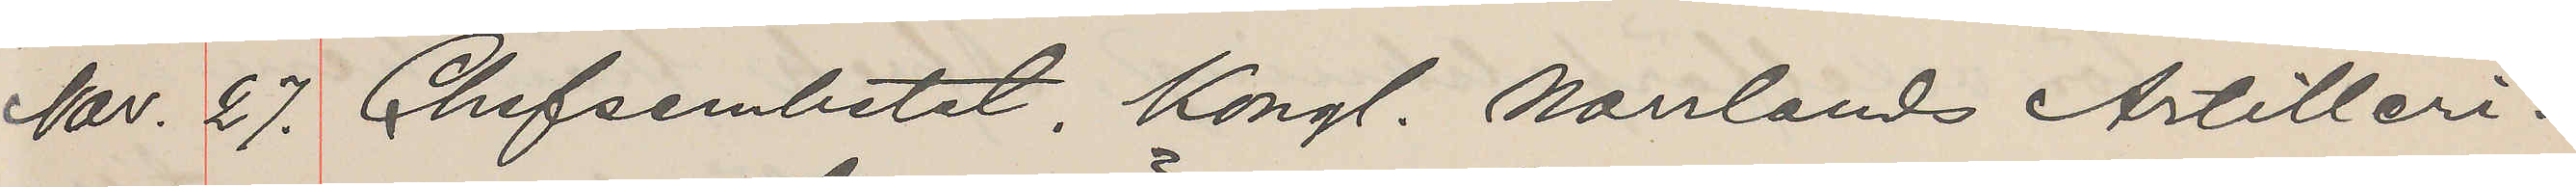Nov. 27. Chefsembetet, Kongl. Norrlands Artilleri¬
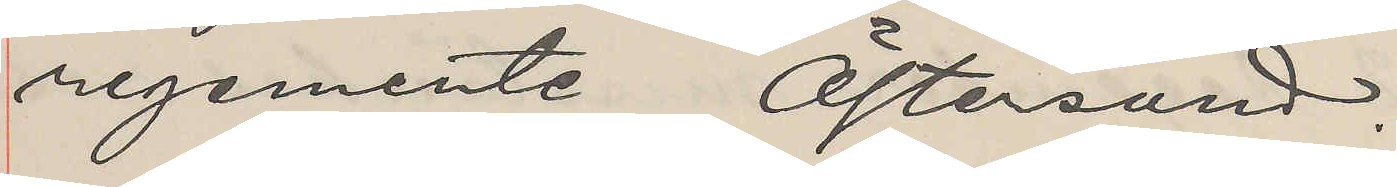regemente Östersund.
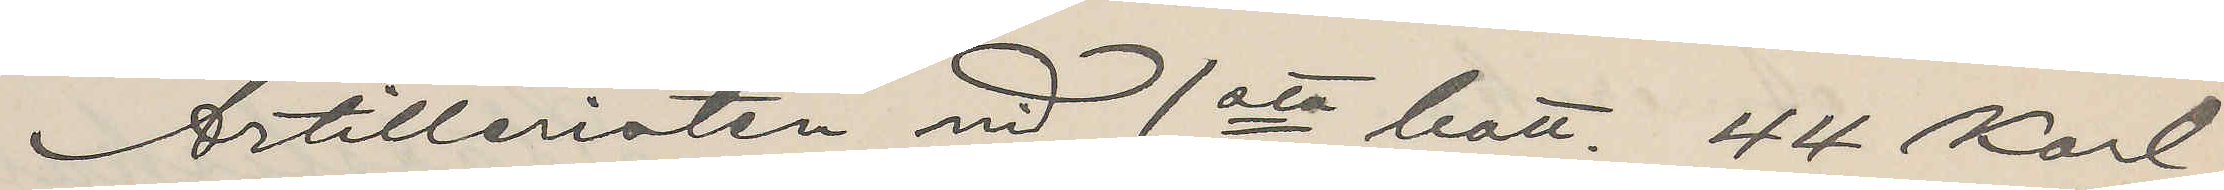Artilleristen vid 1sta batt. 44 Karl
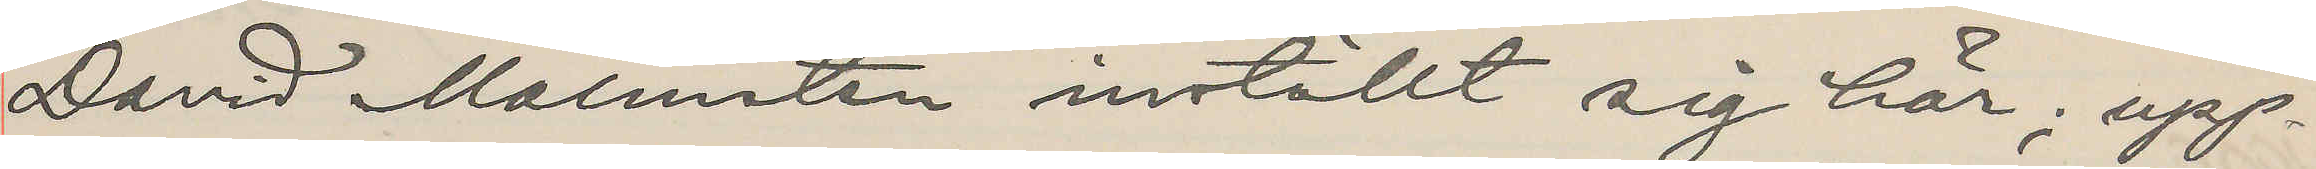David Malmsten inställt sig här; upp¬
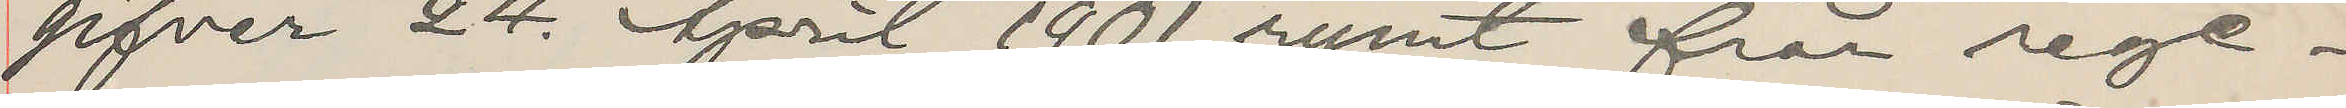gifver 24 April 1901 rymt från rege¬
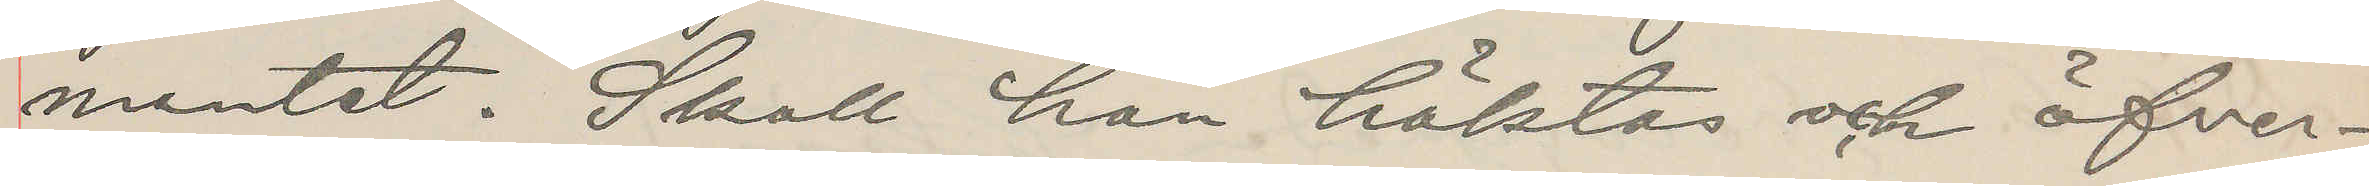mentet. Skall han häktas och öfver¬
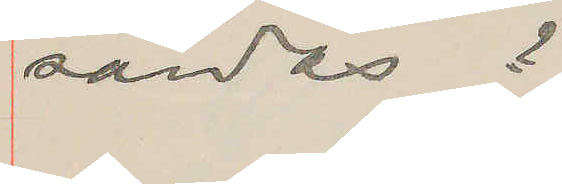sändas?
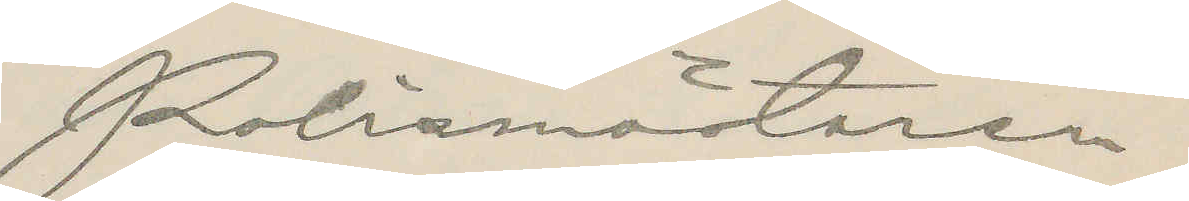Polismästaren.
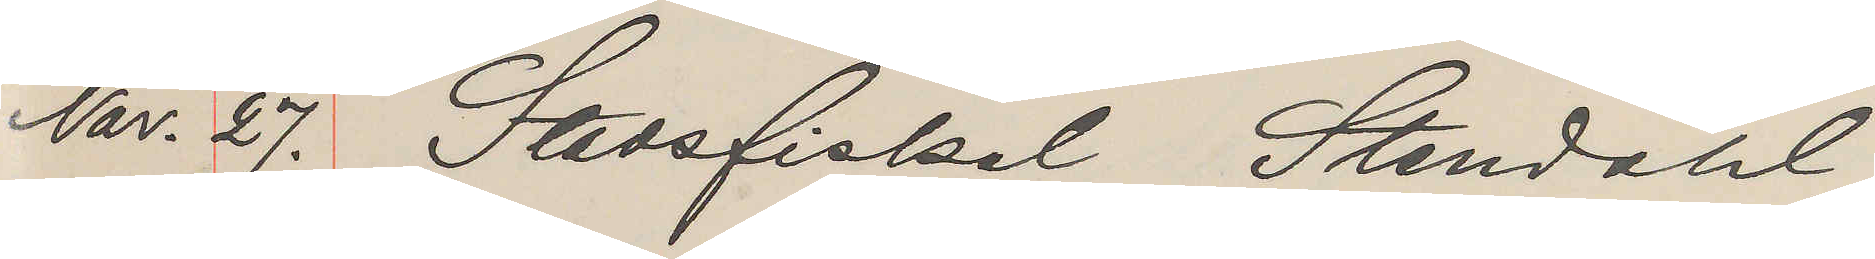Nov. 27. Stadsfiskal Stendahl
